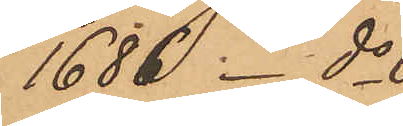1686  do 
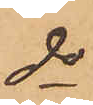do
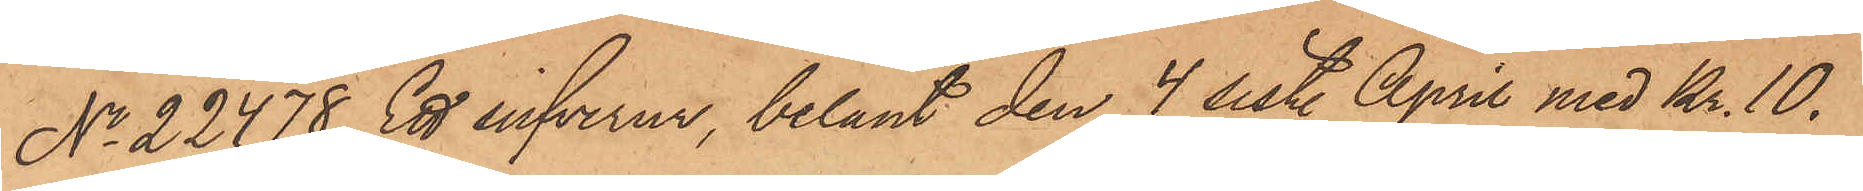No 22478 Ett silfverur, belånt den 4 sist. April med Kr. 10.
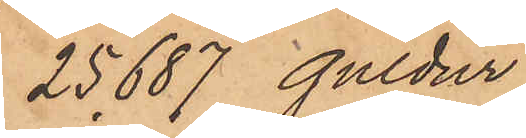25687 guldur
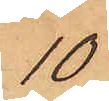10
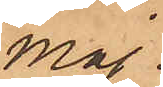Maj
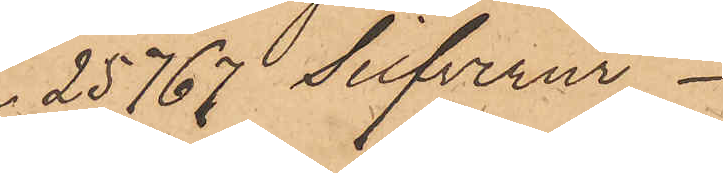25767 Silfverur
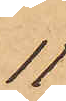11
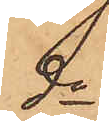do
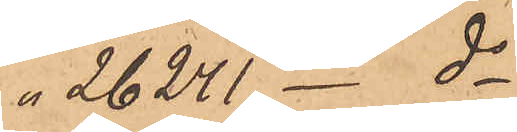 26241  do
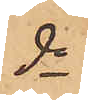do
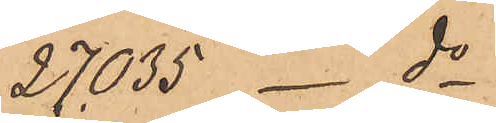27035 _ do
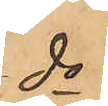do
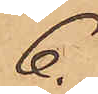6.
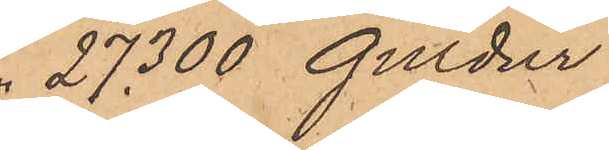27300 guldur
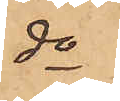do
